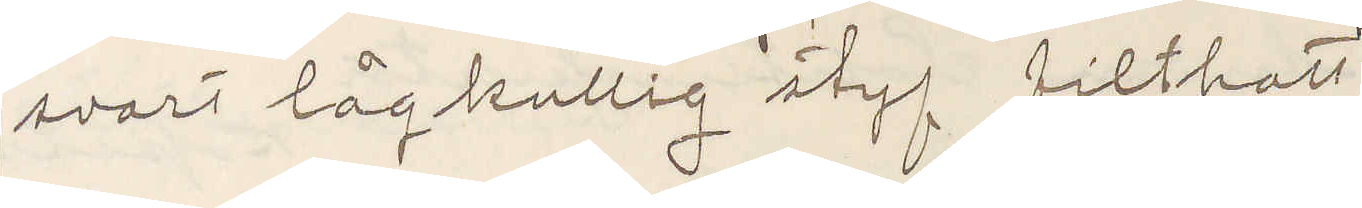svart lågkullig styf filthatt
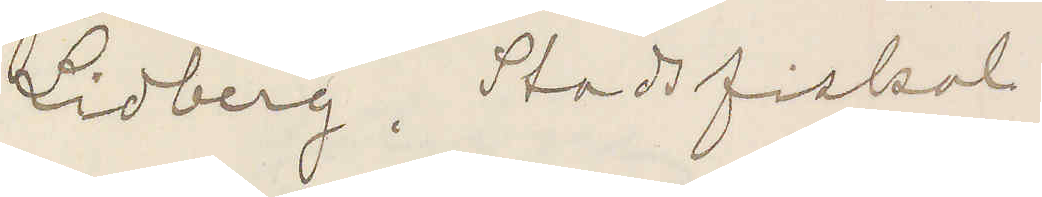Lidberg. Stadsfiskal
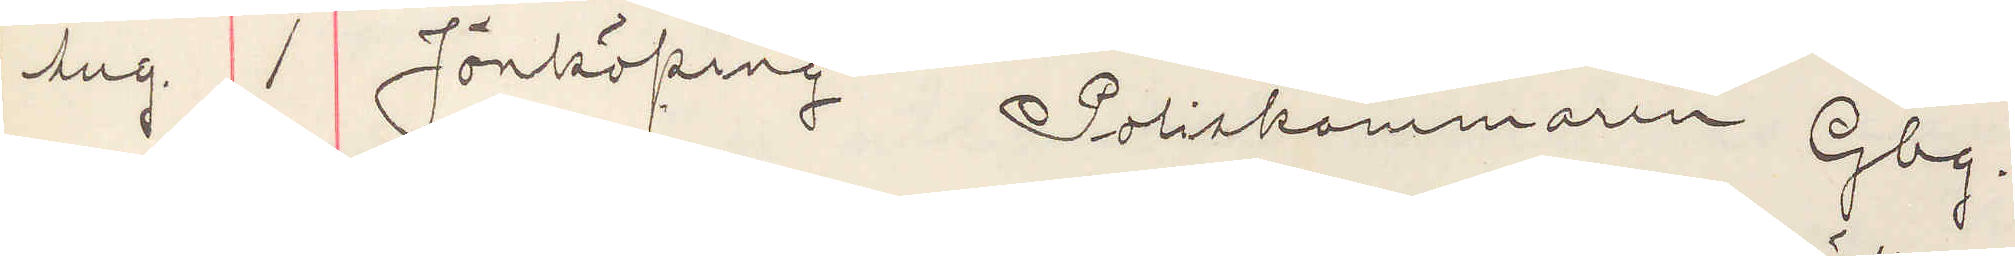Aug. 1 Jönköping Poliskammaren Gbg.
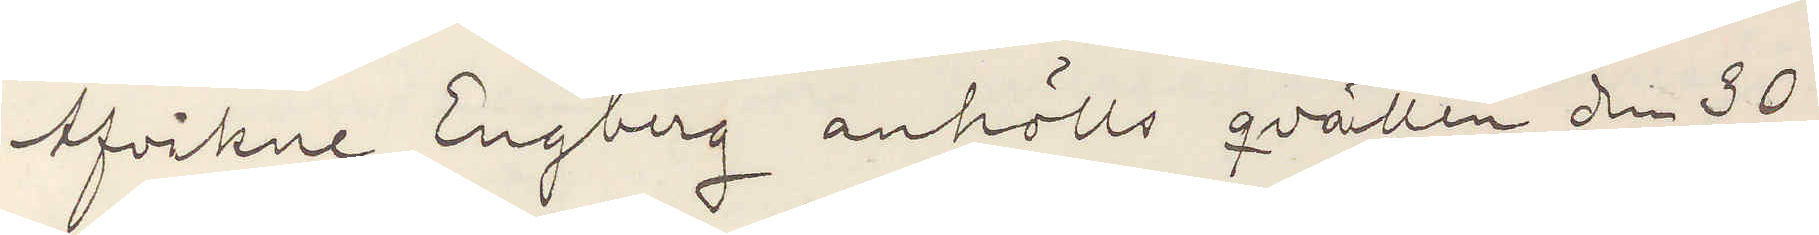Afvikne Engberg anhölls qvällen den 30
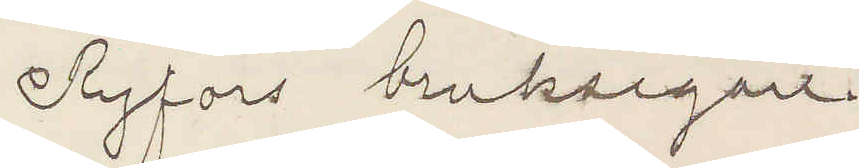Ryfors bruksegare
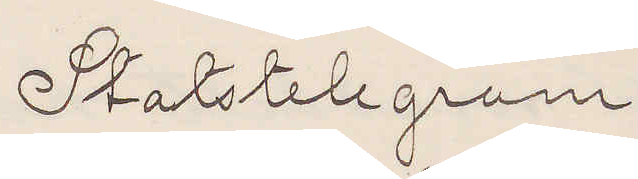Statstelegram
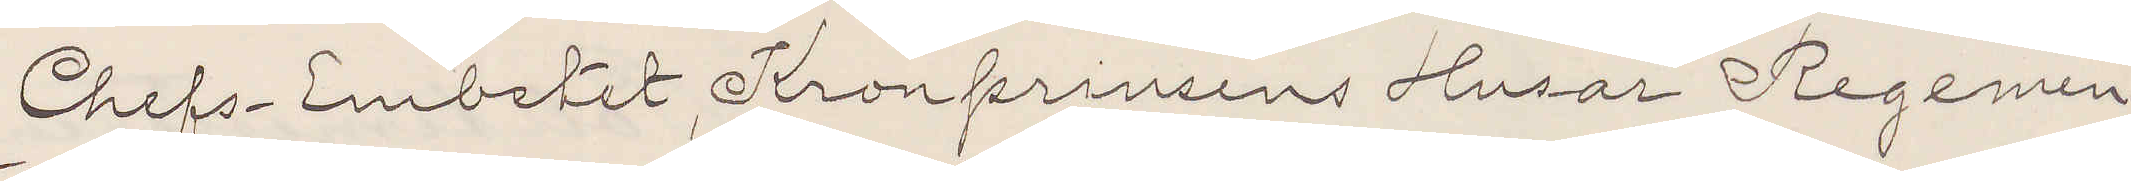Chefs-Embetet, Kronprinsens Husar Regemen¬
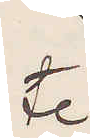te.
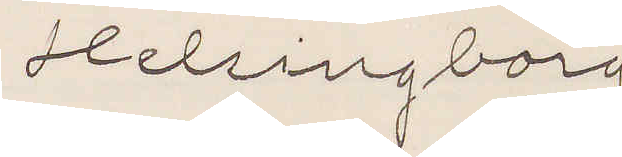Helsingborg
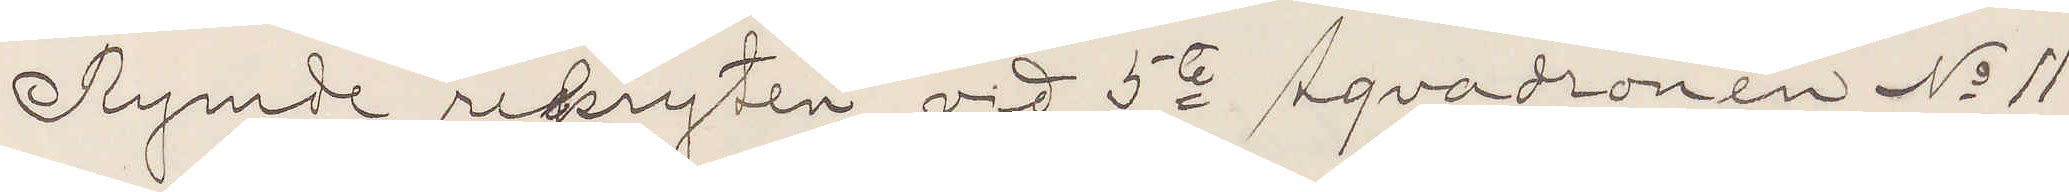Rymde rekryten vid 5te Sqadronen No 11
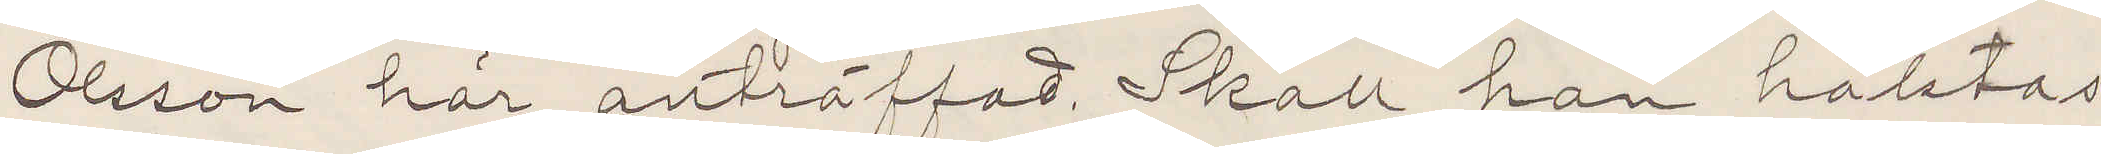Olsson här anträffad. Skall han häktas
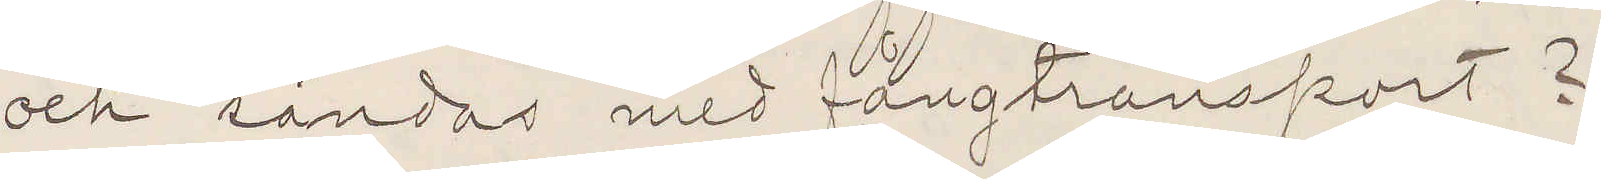och sändas med fångtransport?
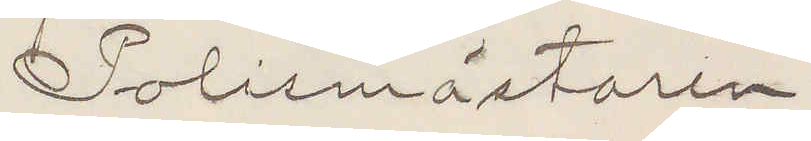Polismästaren
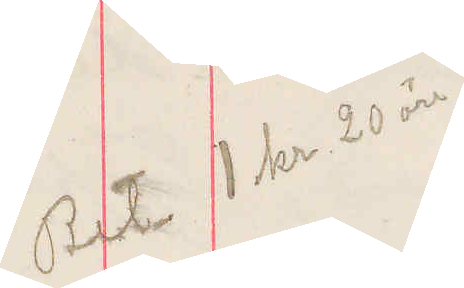Bet 1 kr 20 öre
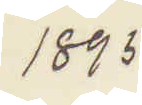1895
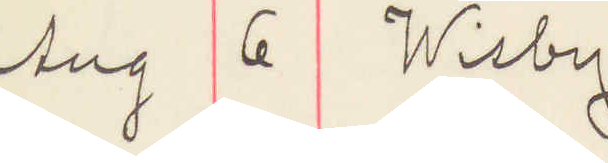Aug 6 Wisby
